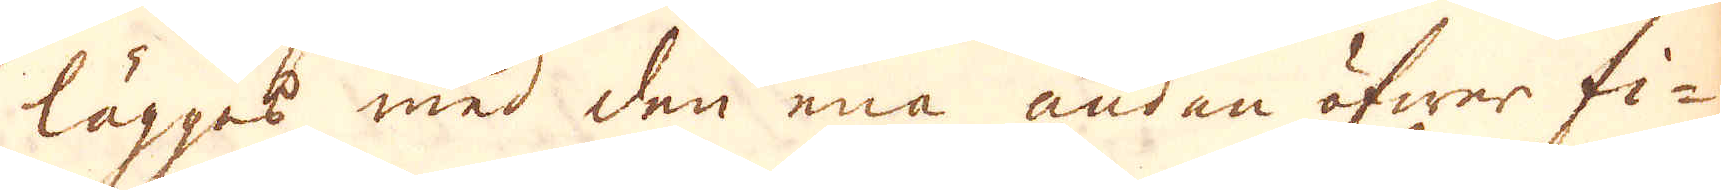lägges med den ena ändan öfwer fi-
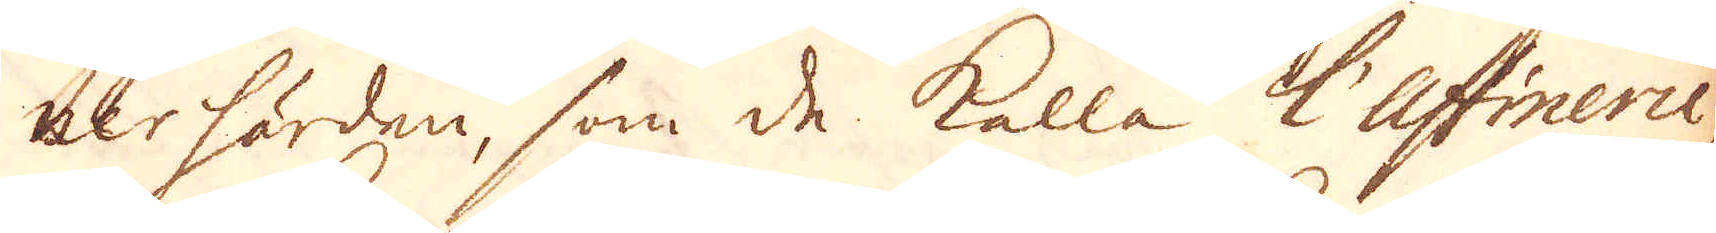nerhärden, som de kalla l'Affinerie
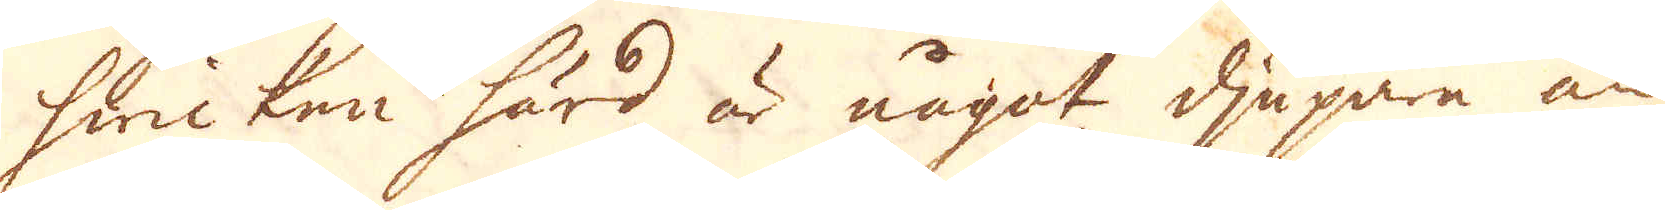hwicken härd är något djupare än
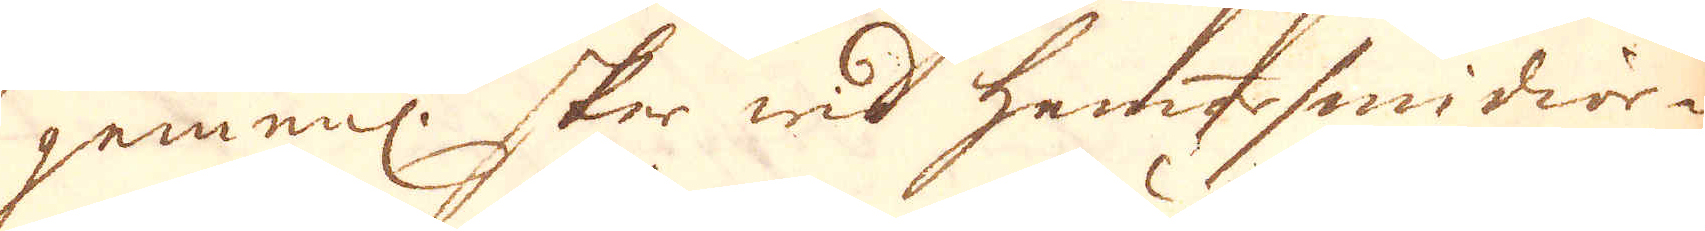gemenl: sker wid hammarsmidior-
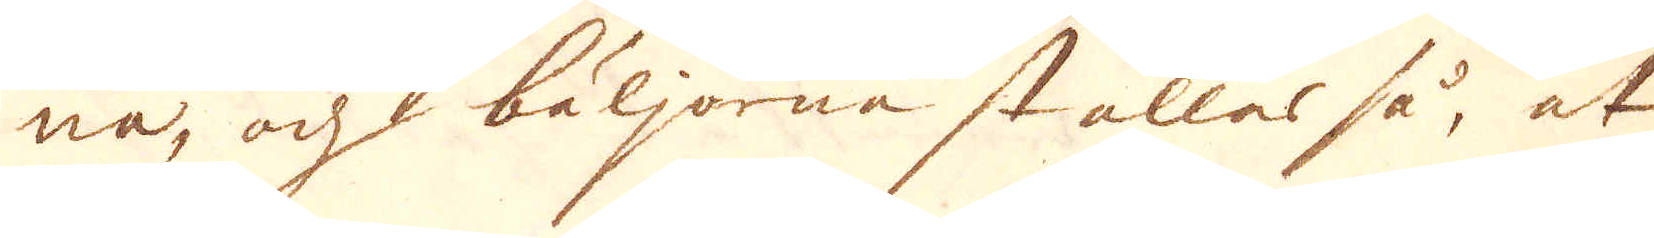na, och bäljorne ställas så, at
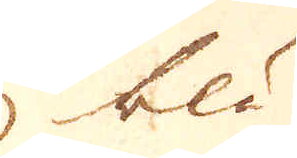blå
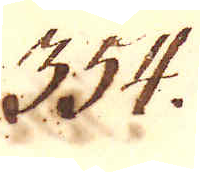354.
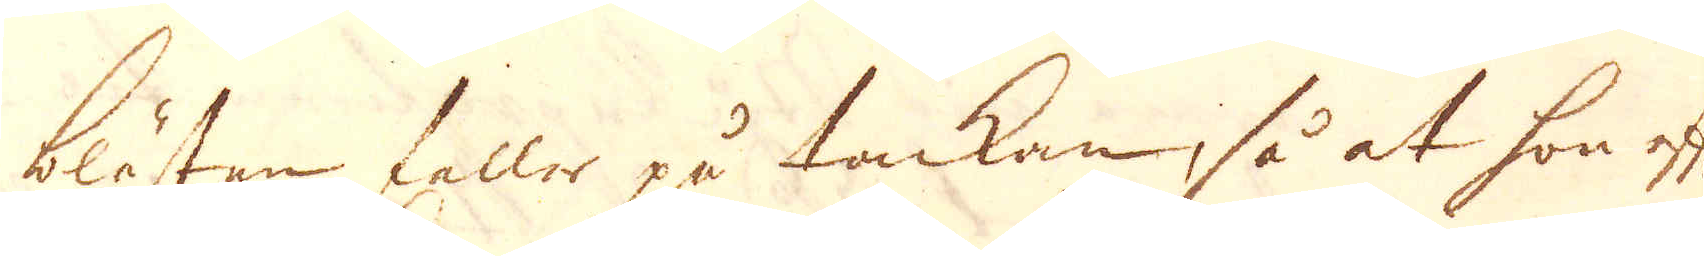blåsten faller på tackan, så at hon efter-
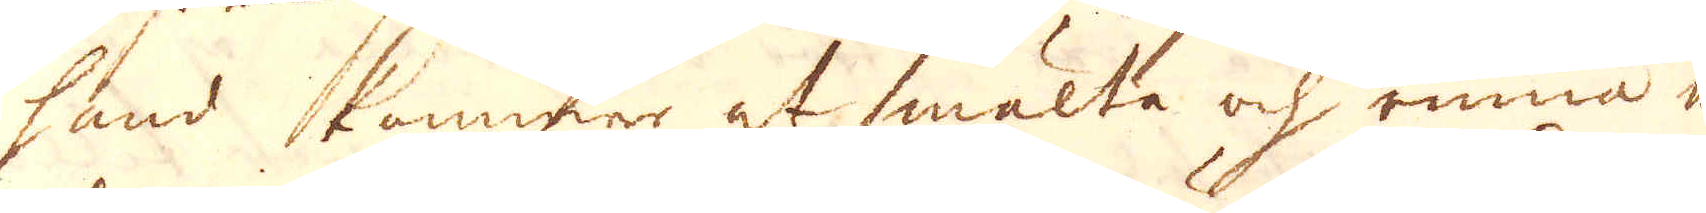hand kommer at smälta och rinna ne-
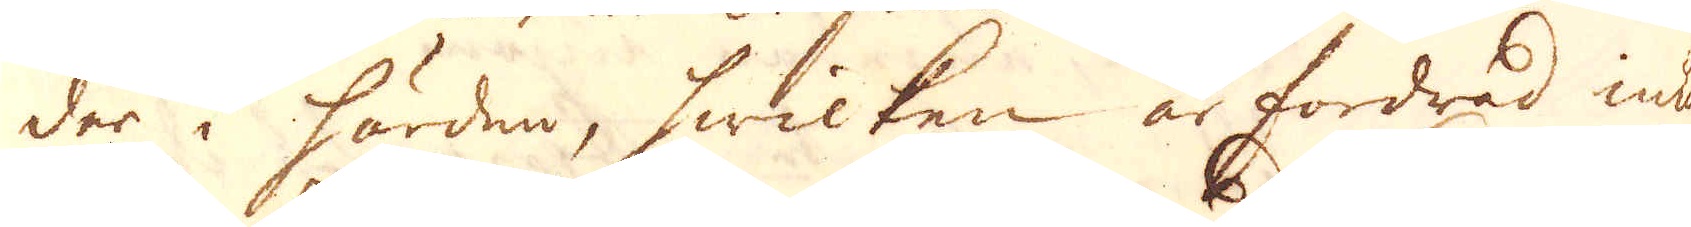der i härden, hwilken är fordrad inuti
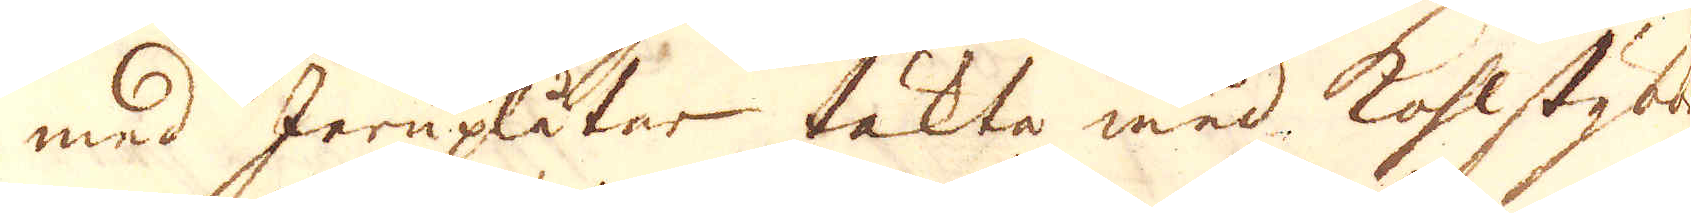med Jernplåtar täkta med kohlstybs
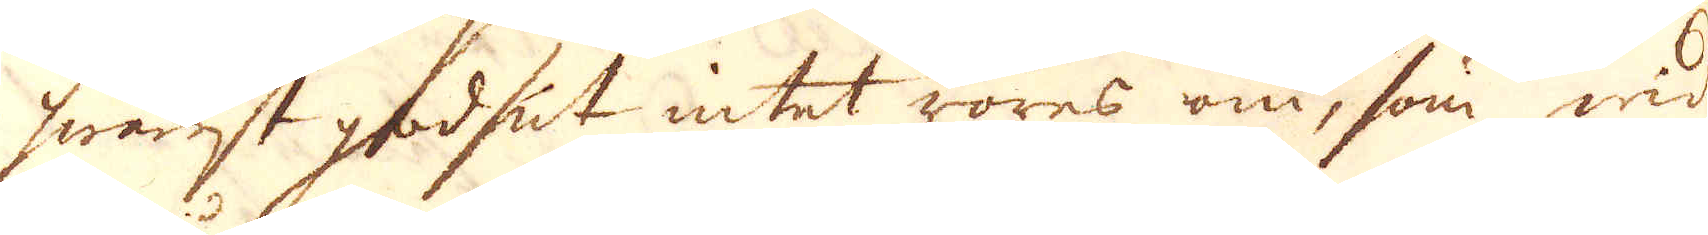hwenst godset intet röres om, som wid
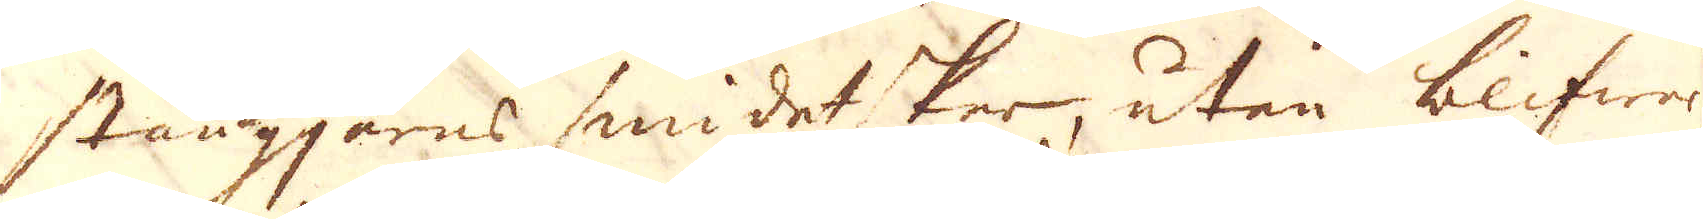stångjerns smidet sker, uten blifwer
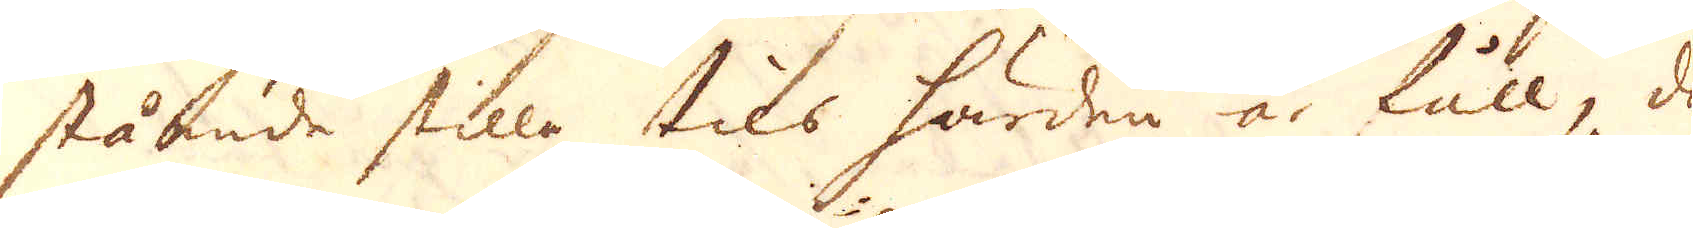stående stilla tils härden är full, då
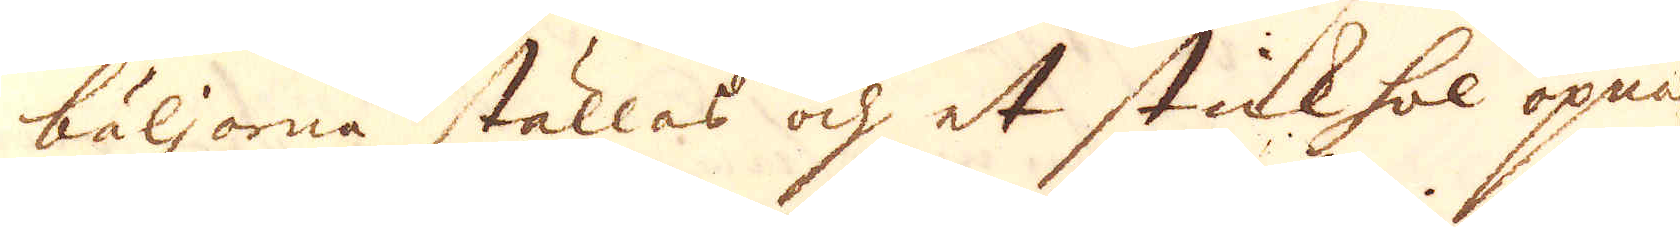bäljorna ställas och et stickhol öpnas
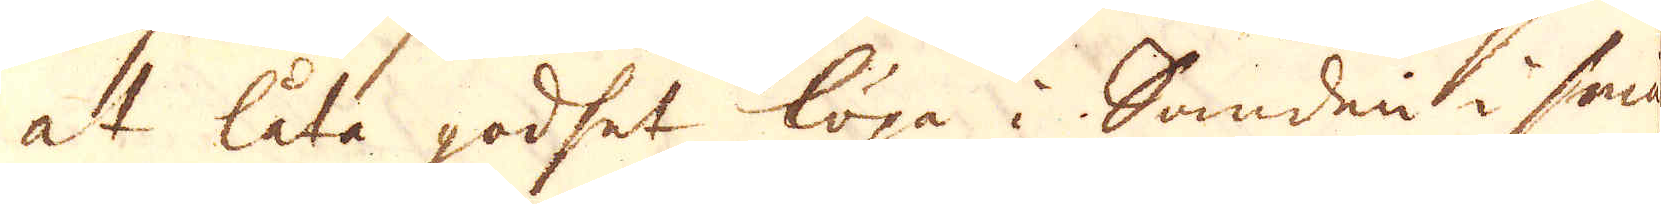at låta godset löpa i Sanden i små
